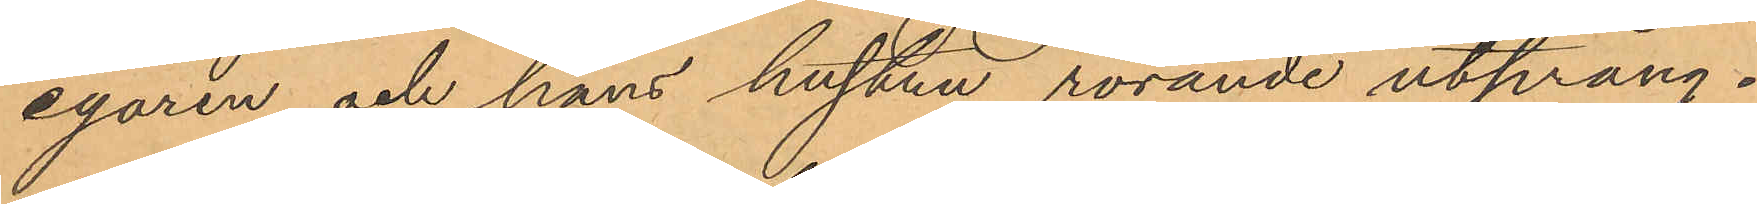egaren och hans hustru rörande utprång¬
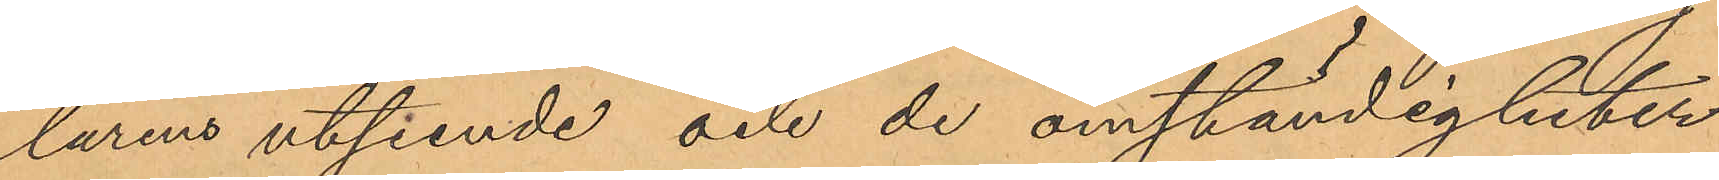larens utseende och de omständigheter
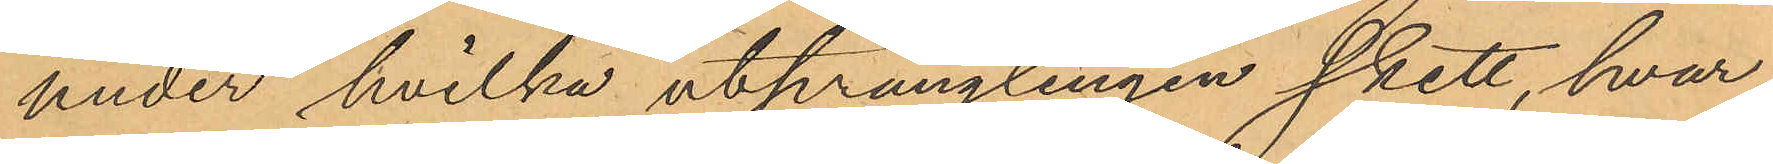under hvilka utprånglingen skett, hvar¬
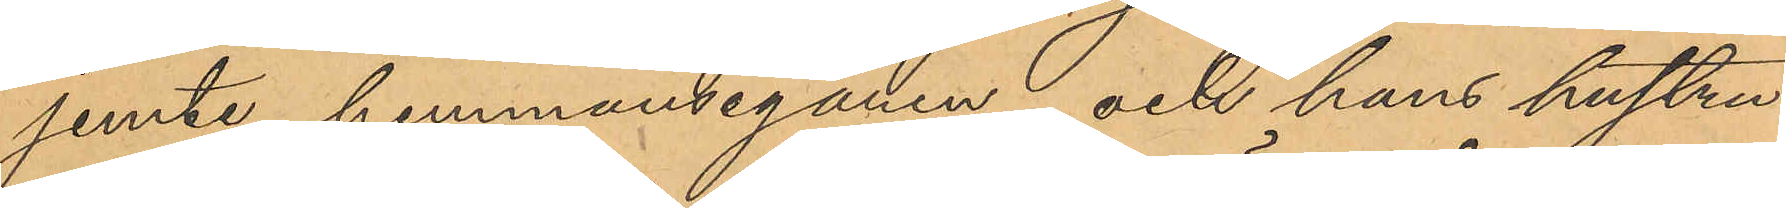jemte hemmanseganen och hans hustru
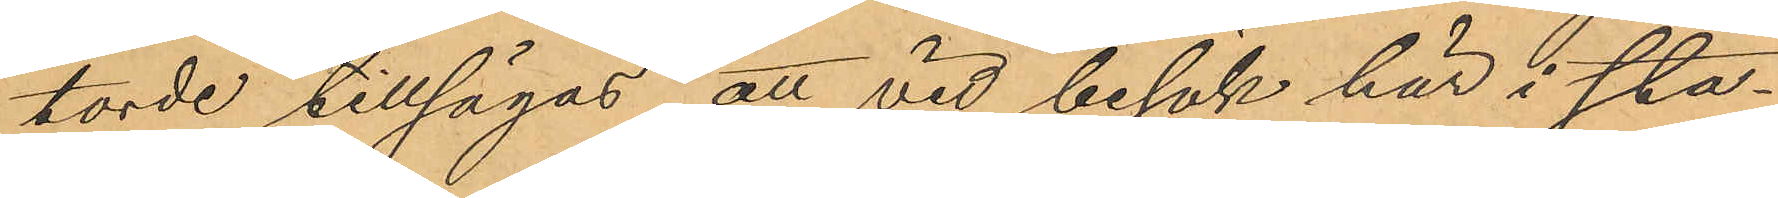torde tillsägas, att vid besök här i sta¬
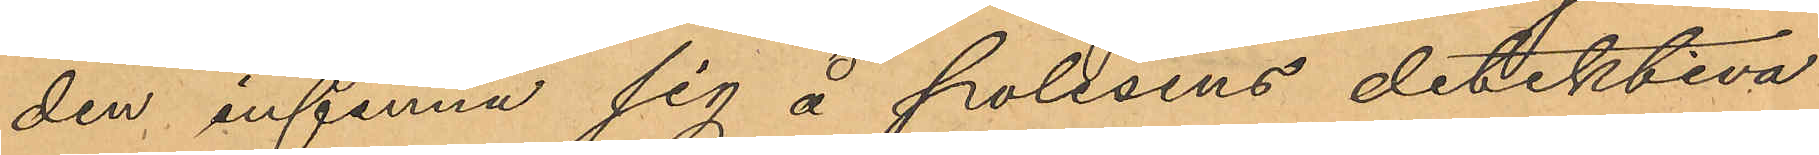den infanna sig å polisens detektiva
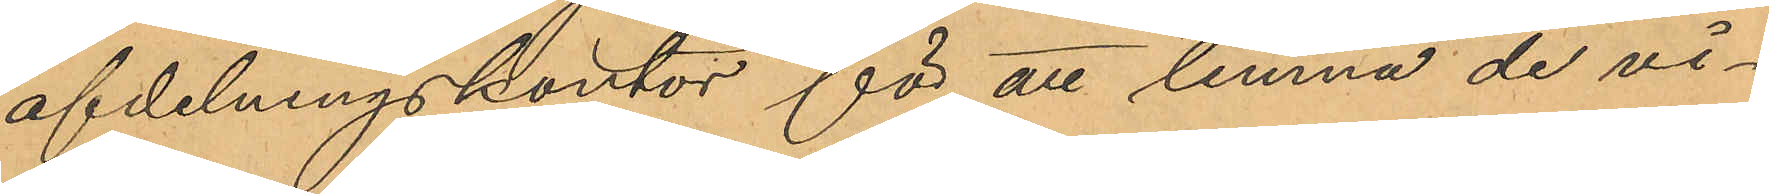afdelningskontor för att lemna de vi¬
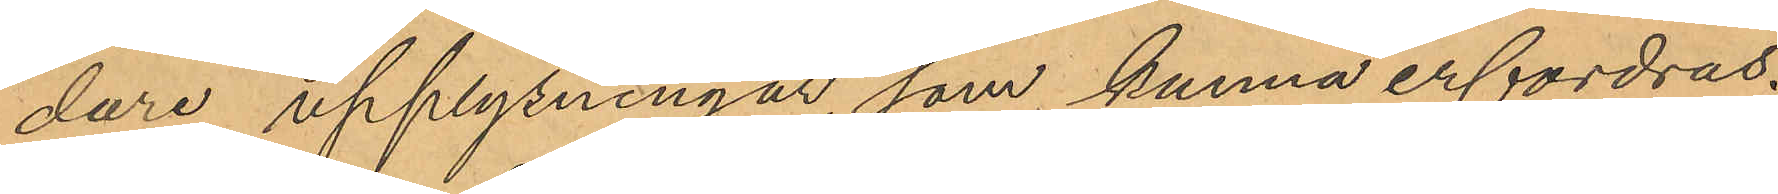dare upplysningar som kunna erfordras.
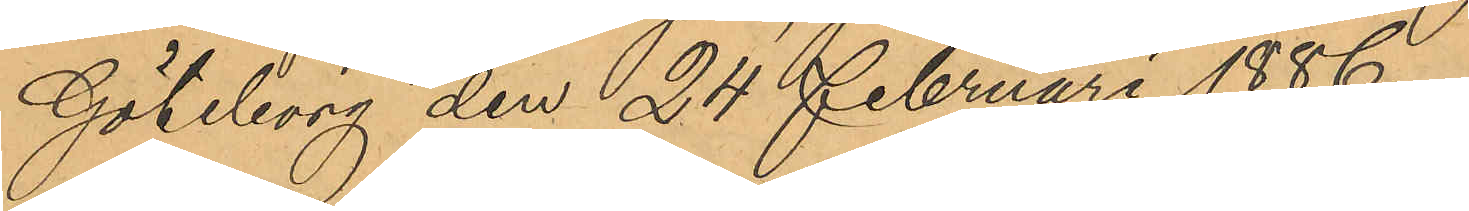Göteborg den 24 Februari 1886.
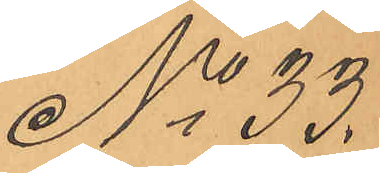No 33.
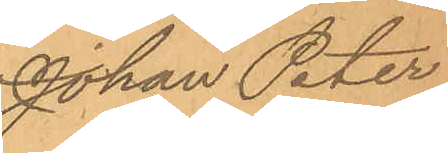Johan Peter
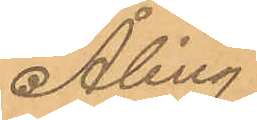Åling
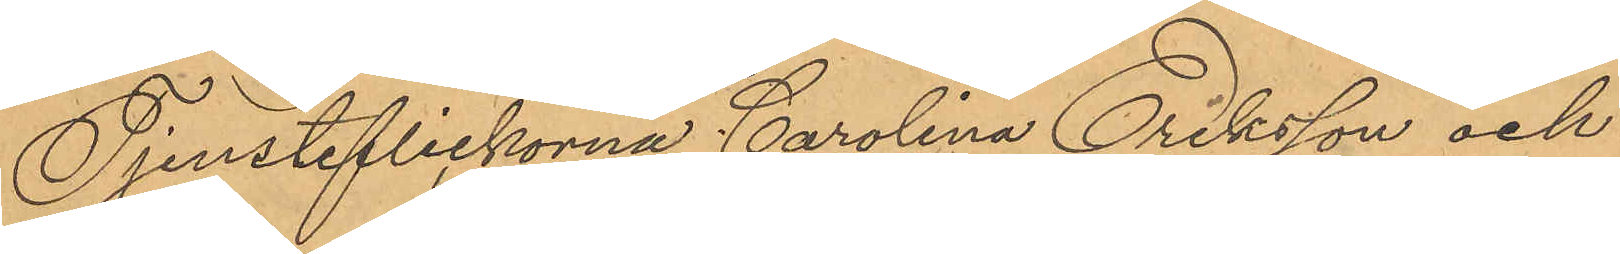Tjensteflickorna Carolina Eriksson och
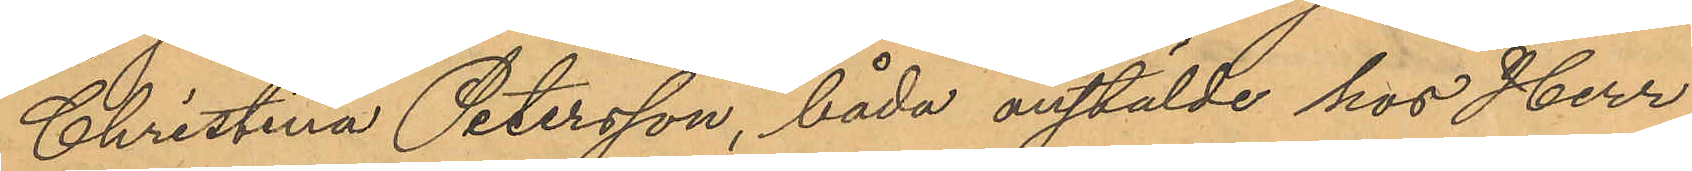Christina Petersson, båda anstälde hos Herr
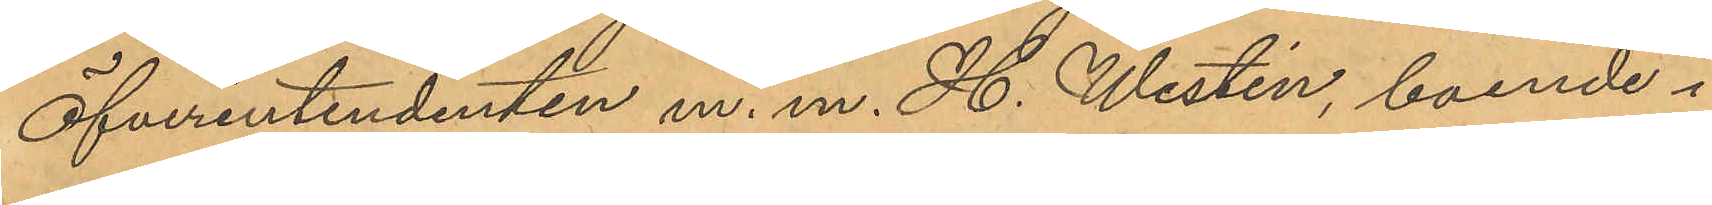Öfverintendenten m. m. H. Westin, boende i
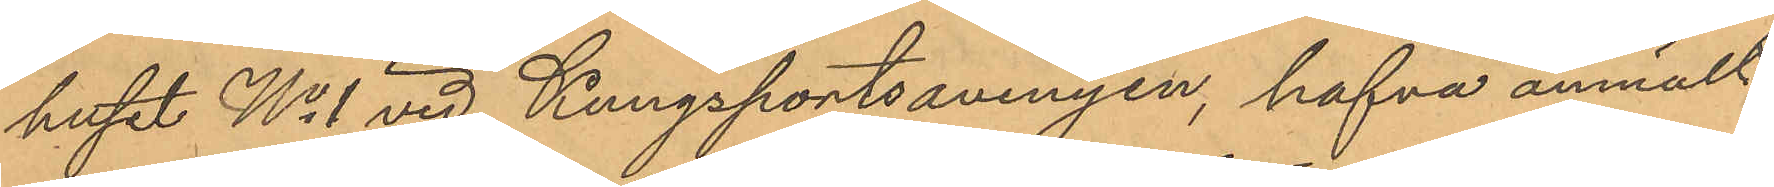huset No 1 vid Kungsportsavenyen, hafva anmält,
